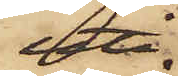uti
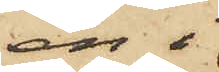en i
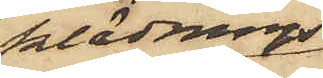klädnings¬
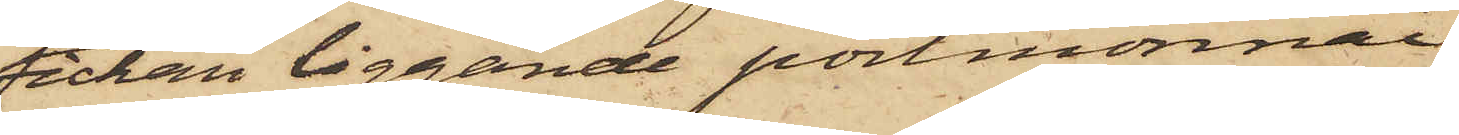fickan liggande portmonnai
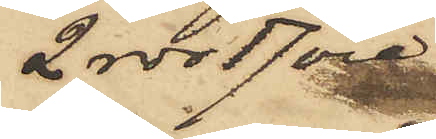2 rdr 17 öre
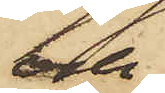och
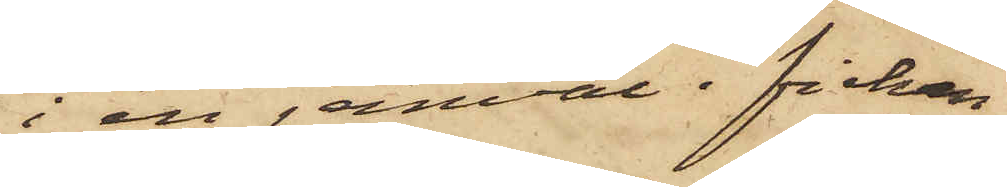i en jemväl i fickan
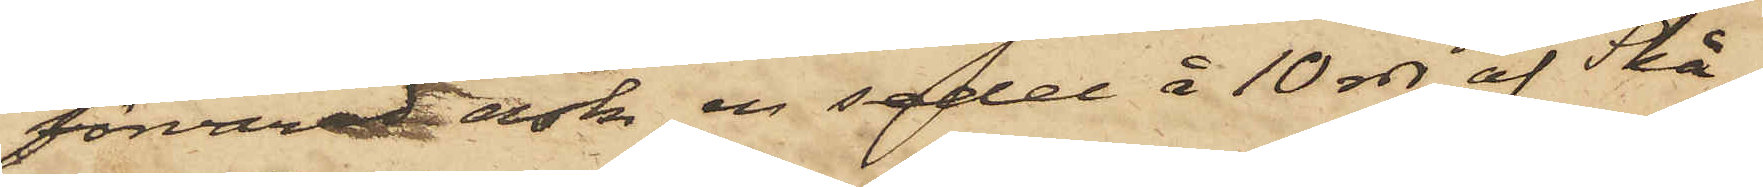förvarad ask en sedel å 10 rdr af Skå¬
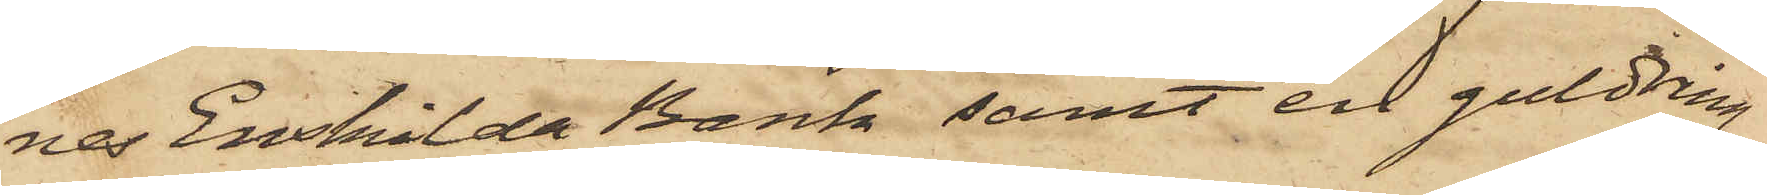nes Enskilda Bank samt en guldring
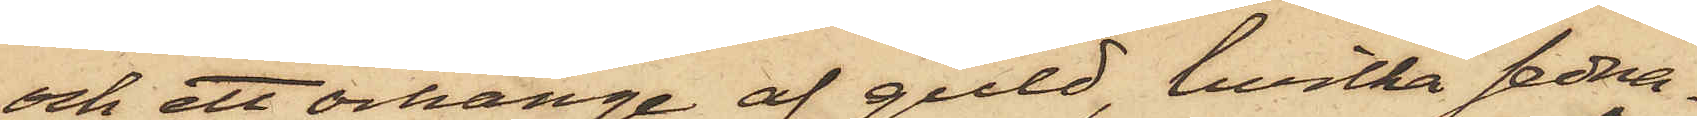och ett örhänge af guld, hvilka sedna¬
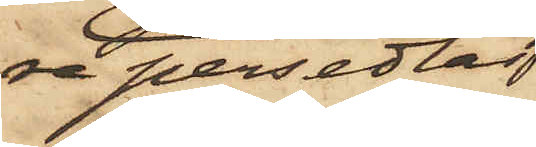re persedlar
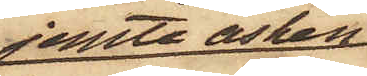jemte asken
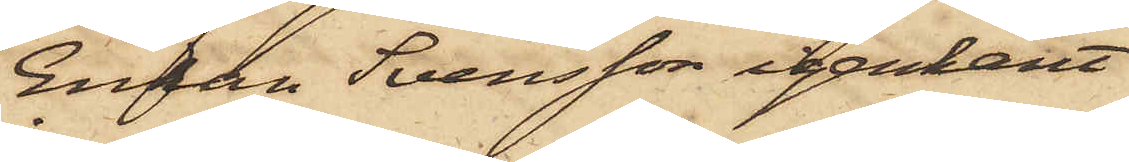Enkan Svensson igenkänt
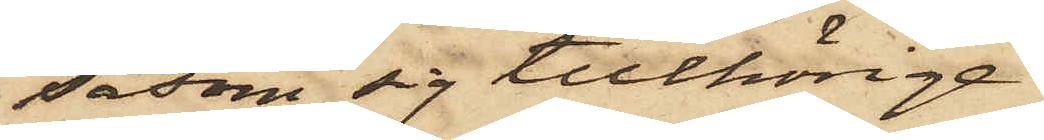såsom sig tillhörige.
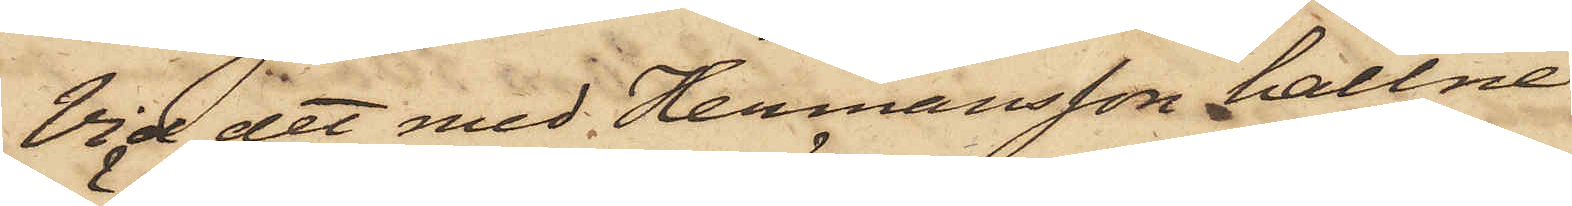Vid det med Hermansson hållne
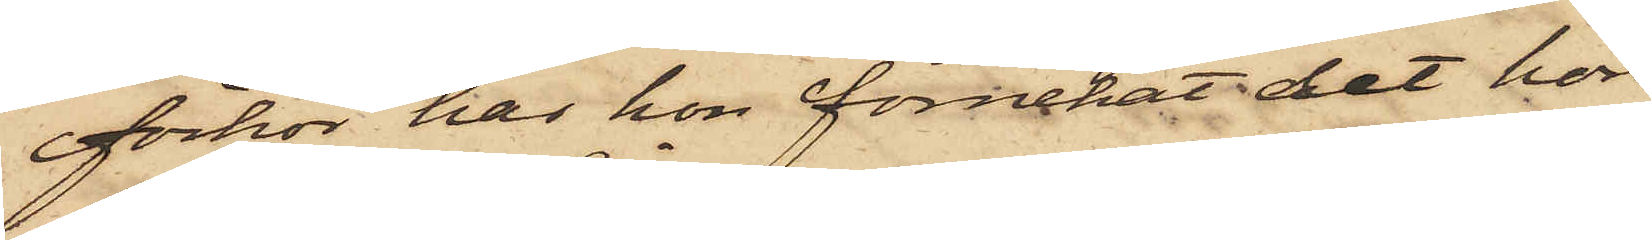förhör har hon förnekat det hon
